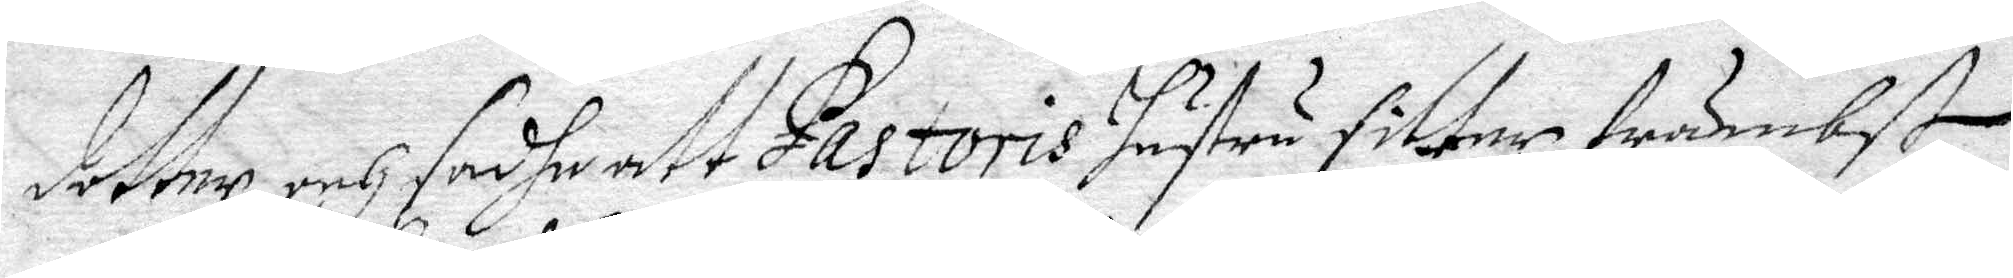dotter och sadhe att Pastoris hustru sitter främbst
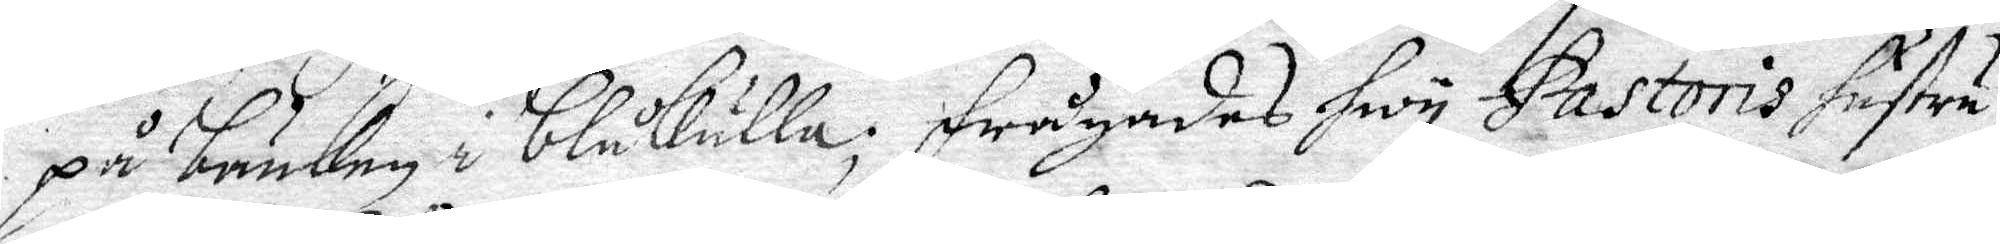på bänken i blåkulla; Frågades hwy Pastoris hustru
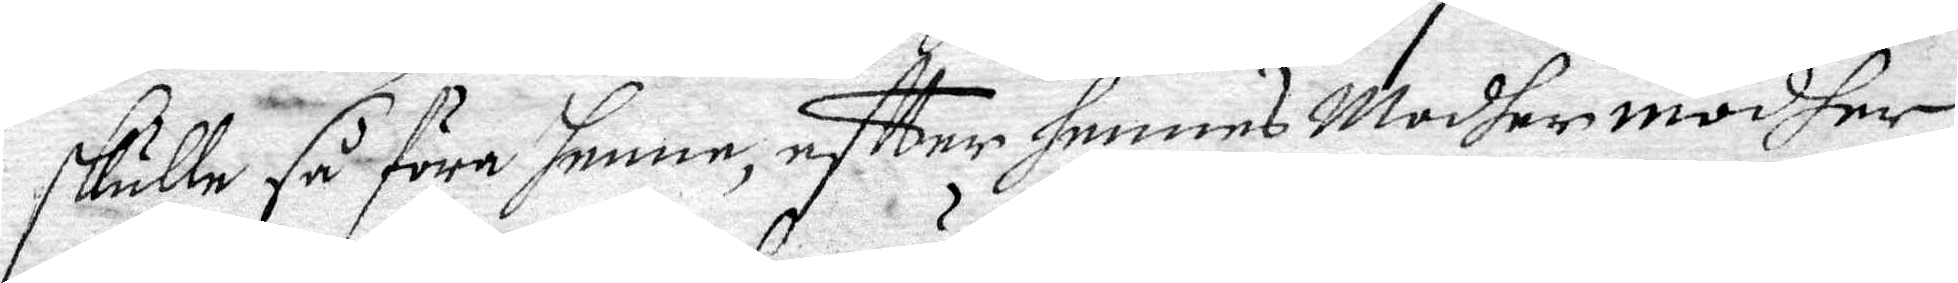skulle så föra henne, eftter hennes Modhermodher
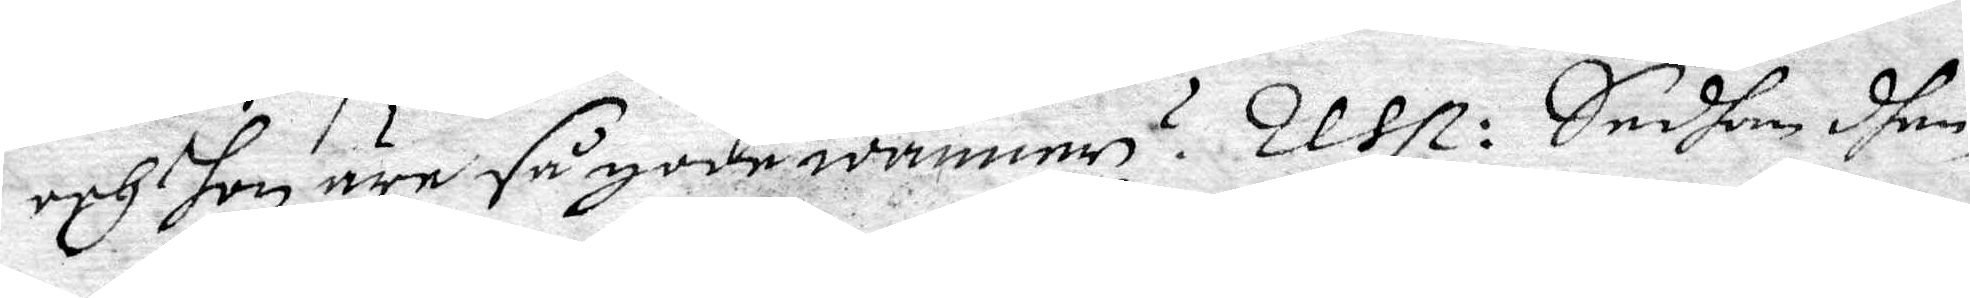och hon äre så gode wänner? Resp: Sedhan dhen¬
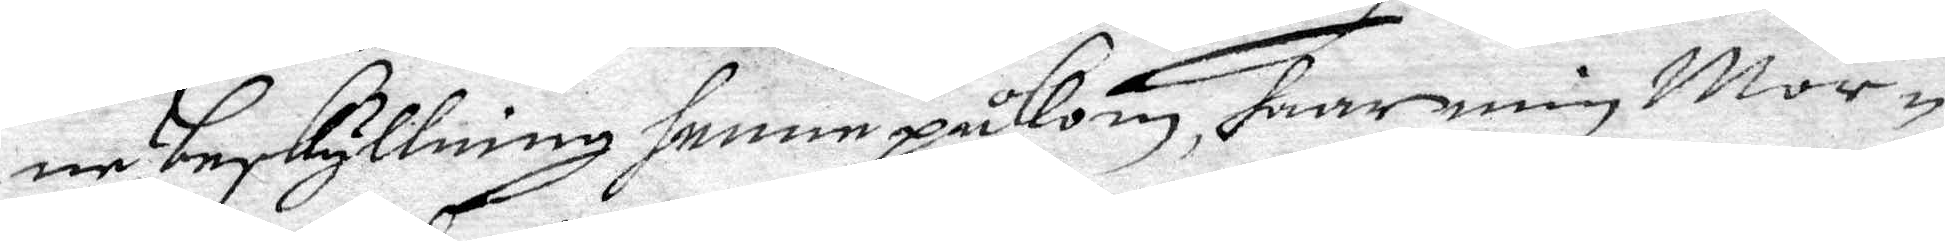ne beskyllning henne påkom, haar min Mor¬
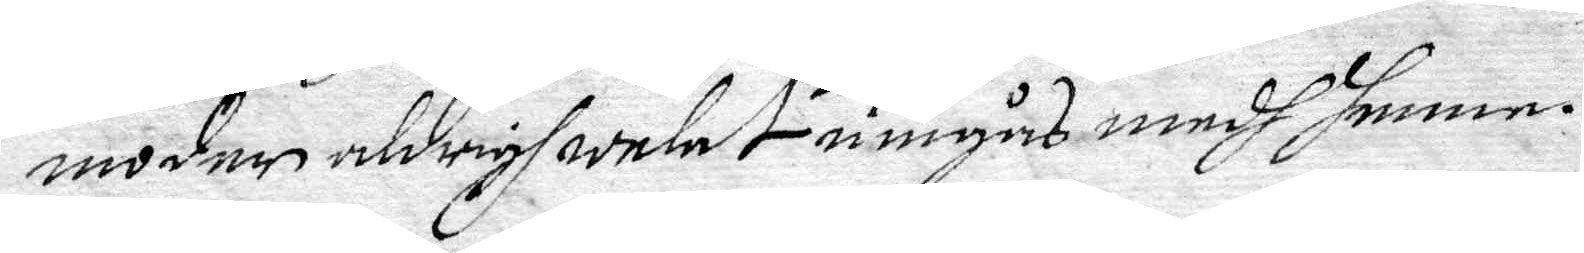moder aldrigh welat umgås medh henne.
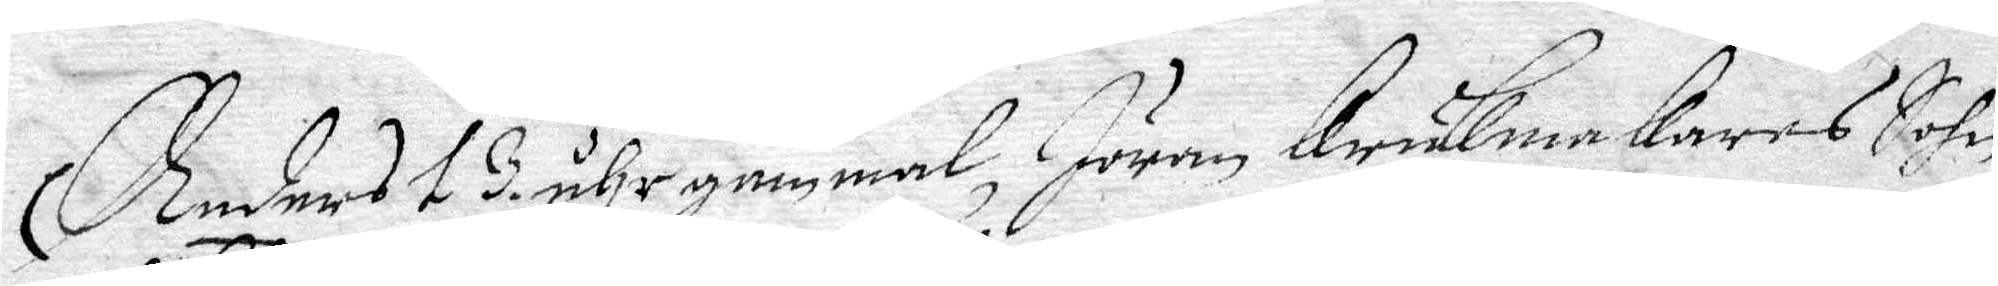Anders 13 åhr gammal, Jöran Krukmakares Sohn
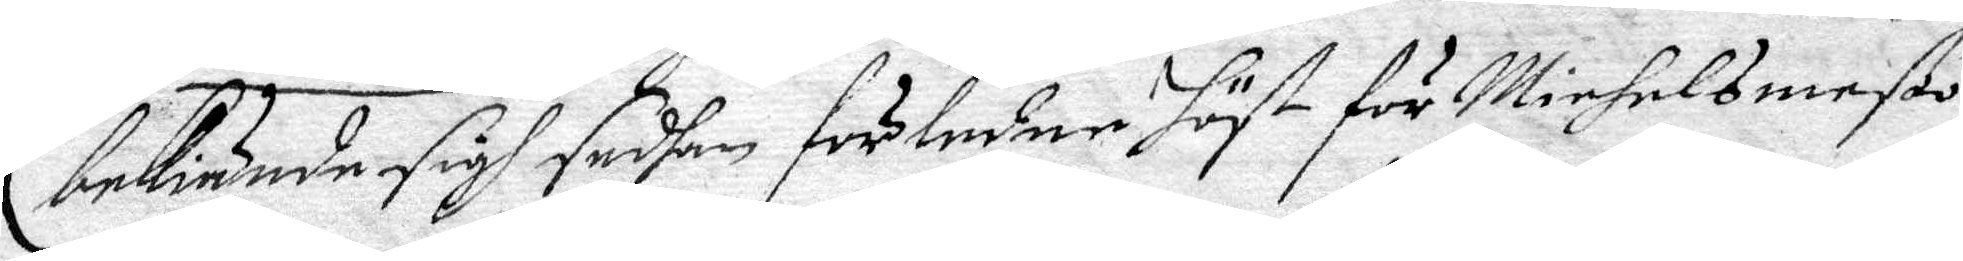bekiände sigh sedhan förledne höst för Michelsmeßo
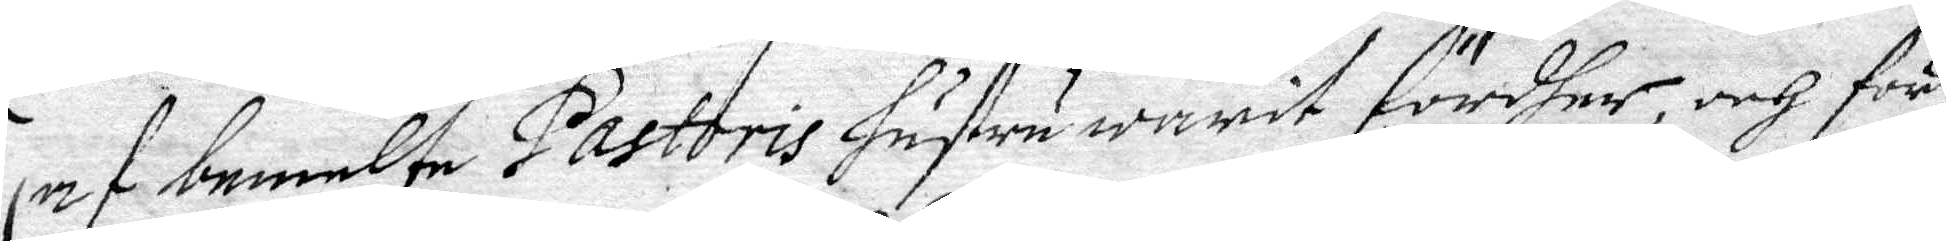af bemelte Pastoris hustru warit fördher, och för¬
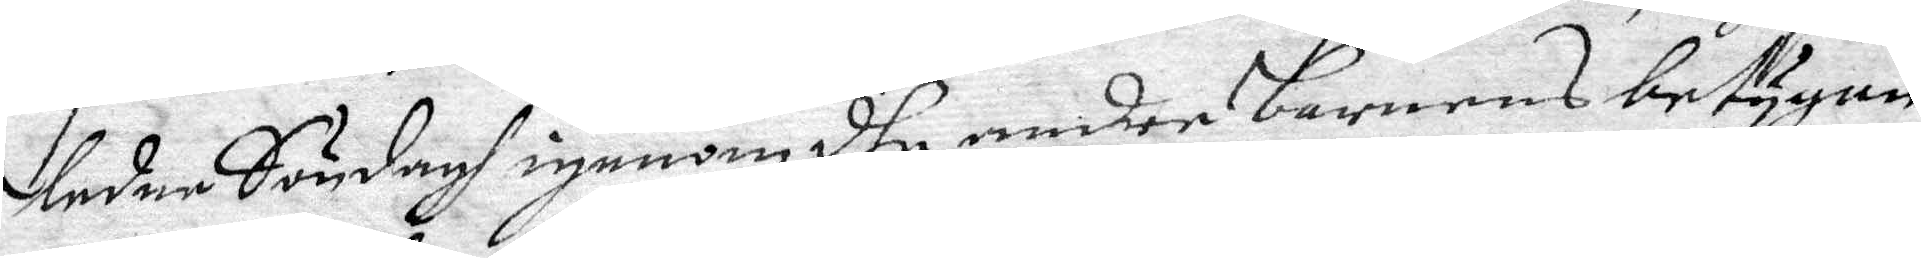ledne Söndagh igenom dhe andre barnens betygan¬
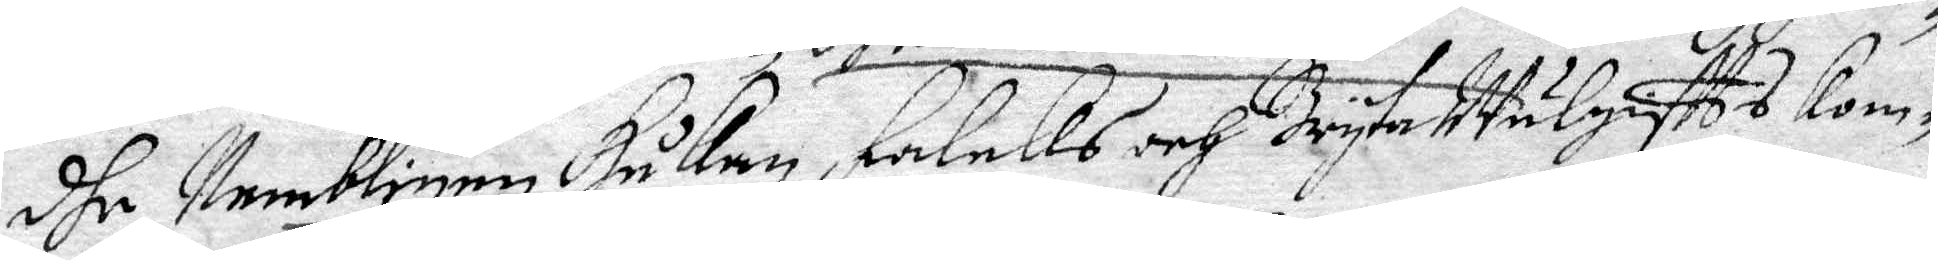dhe Nembligen Håkan Falcks och Bryta Wälgisftts kom¬
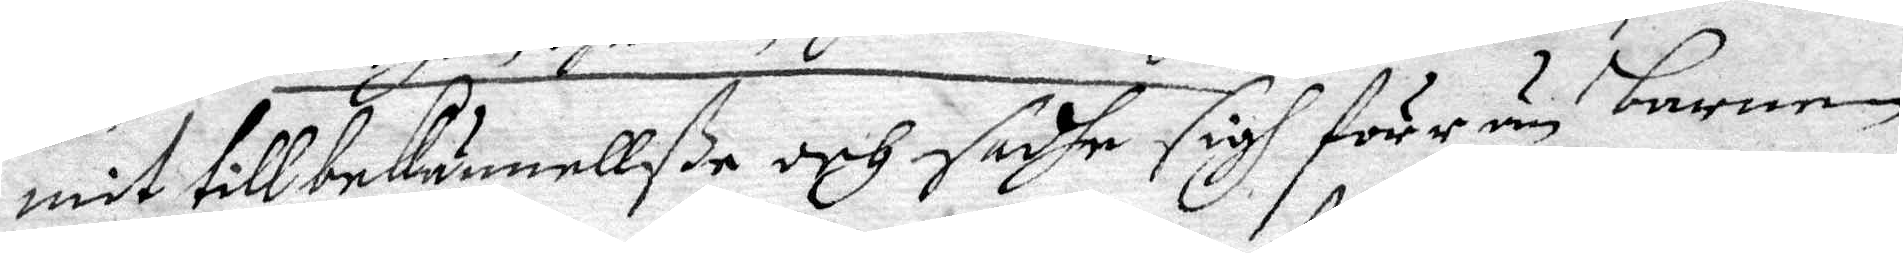mit till bekännellße och sadhe sigh förr än barnen
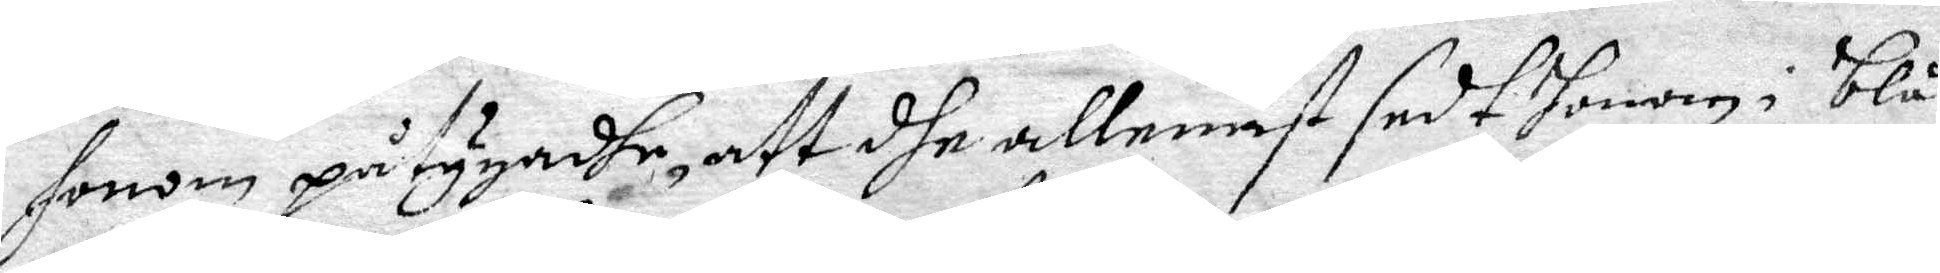honom påtygadhe, att dhe allenast sedt honom i blå¬
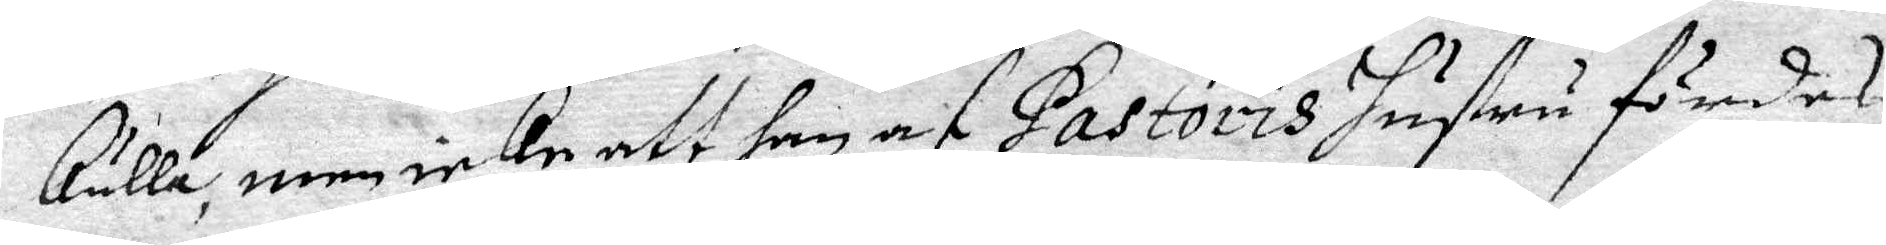kulla, men icke att han af Pastoris hustru fördes,
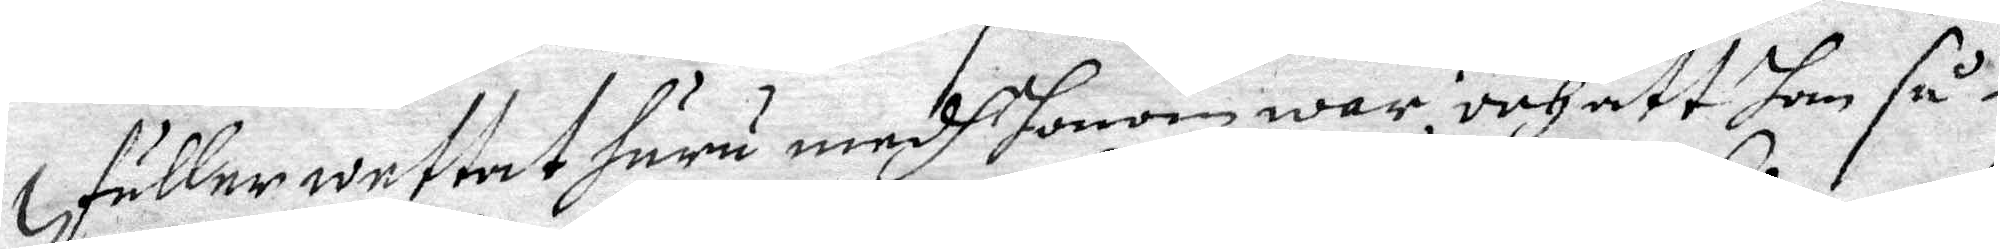fuller wettat huru medh honom war, och att han så¬
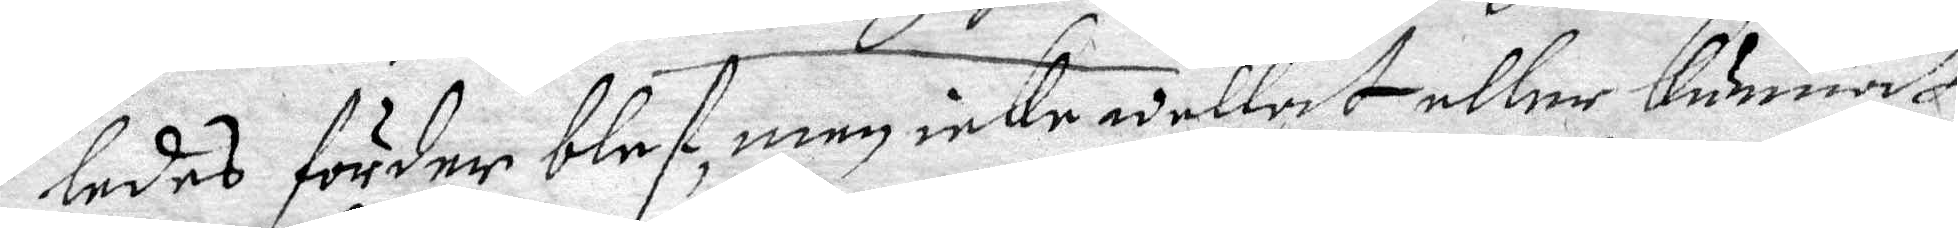ledes förder blef, men icke wettat eller kunnat
